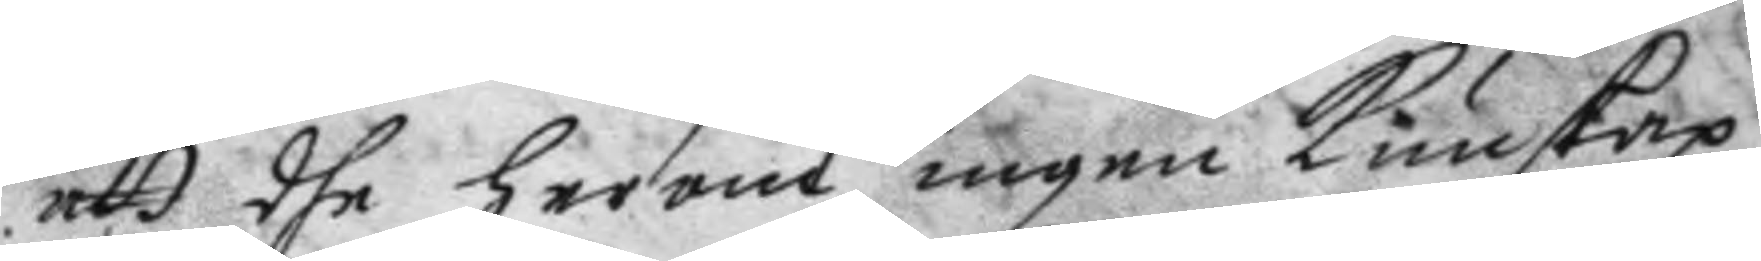att dhe herom ingen Kunskap
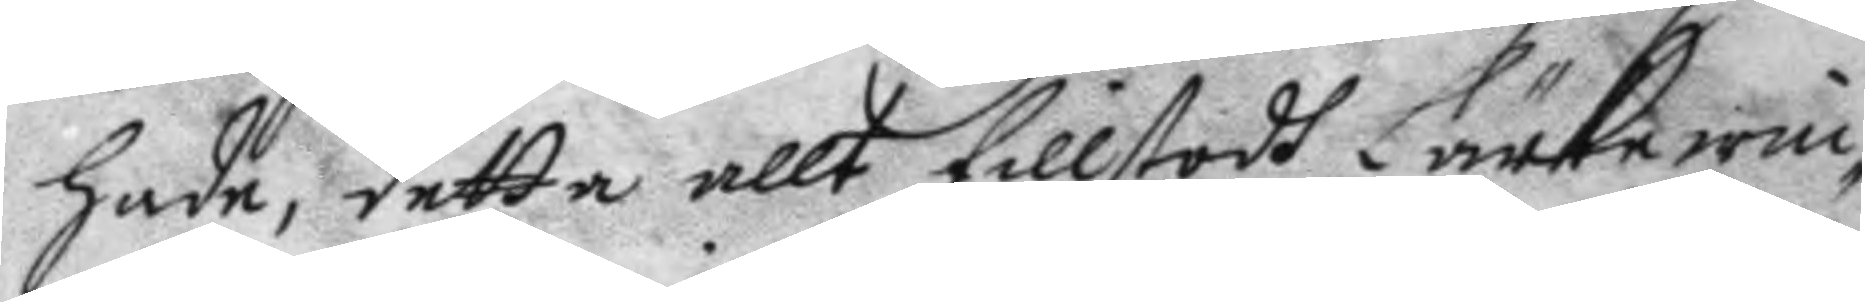hade, detta allt tillstodh Lärkewin¬
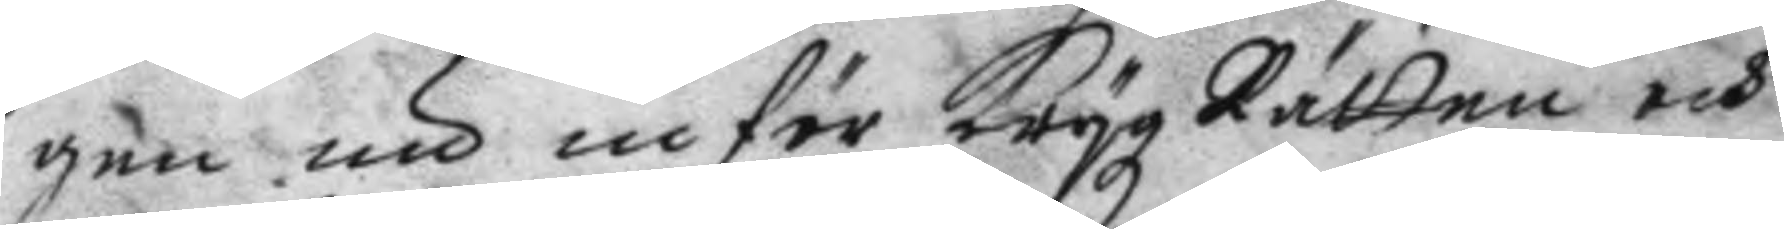gen nu inför krygz Rätten och
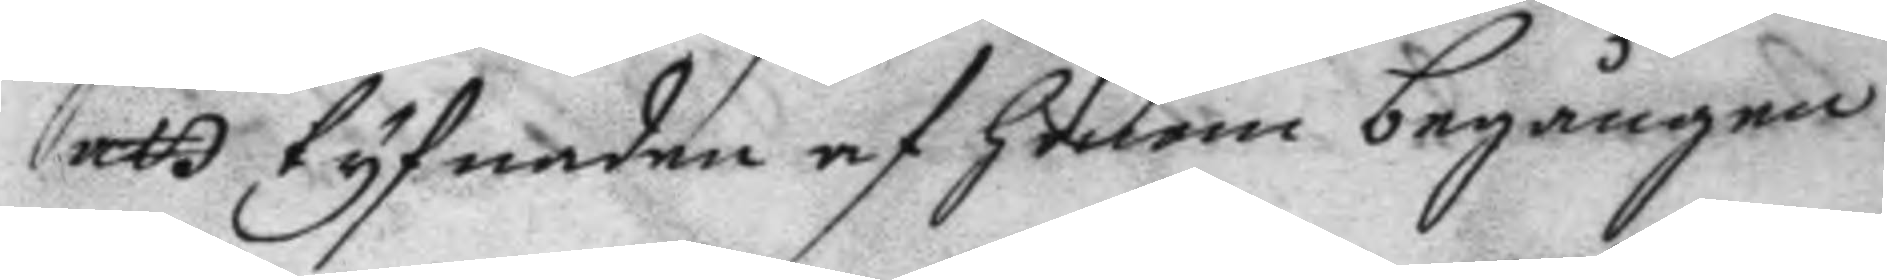att tyfnaden af honom begången
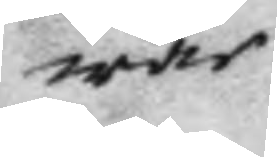war
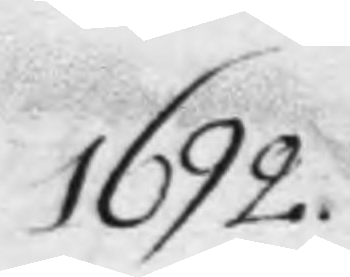1692.
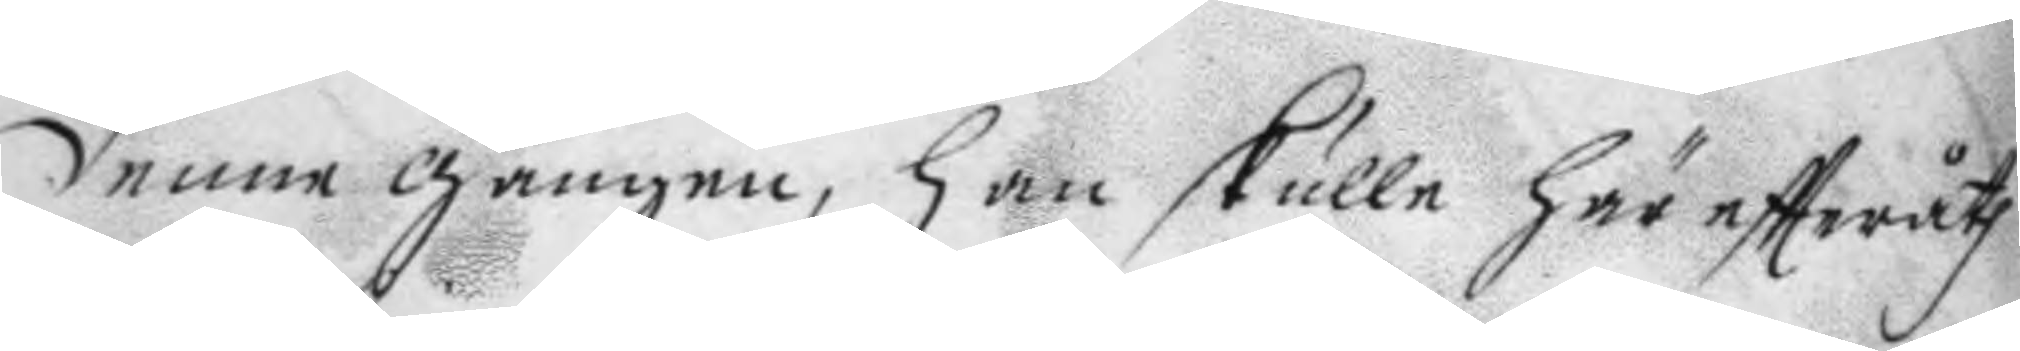denne gången, han skulle här eftteråth
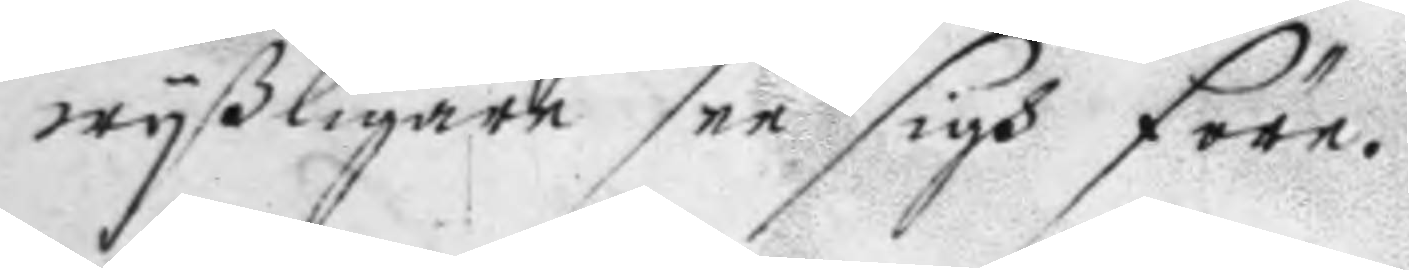wyßligare see sigh före.
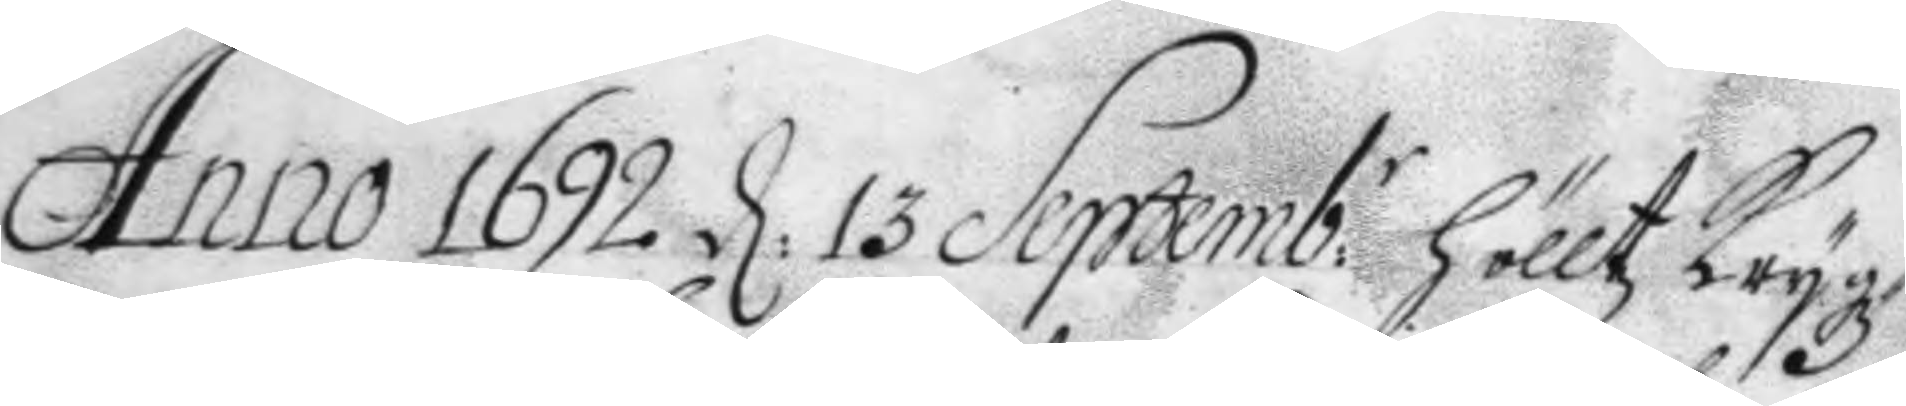Anno 1692 d: 13 Septemb:r hölltz Krygz¬
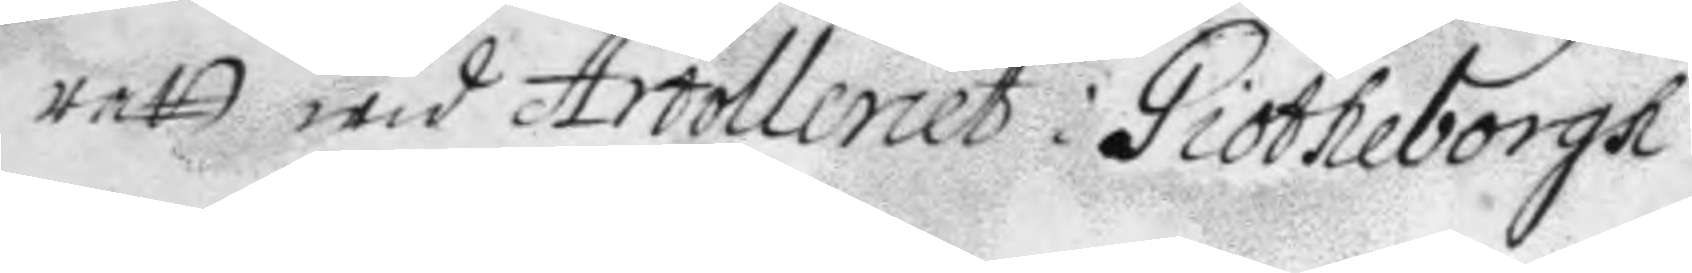rett wid Artolleriet i Giötheborgh
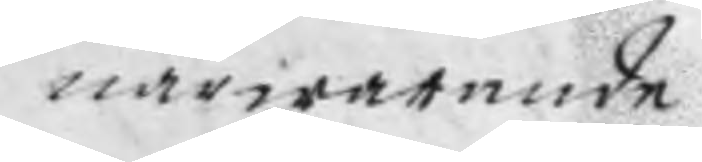närwarande
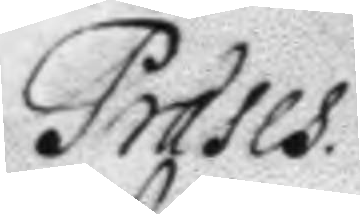Præses
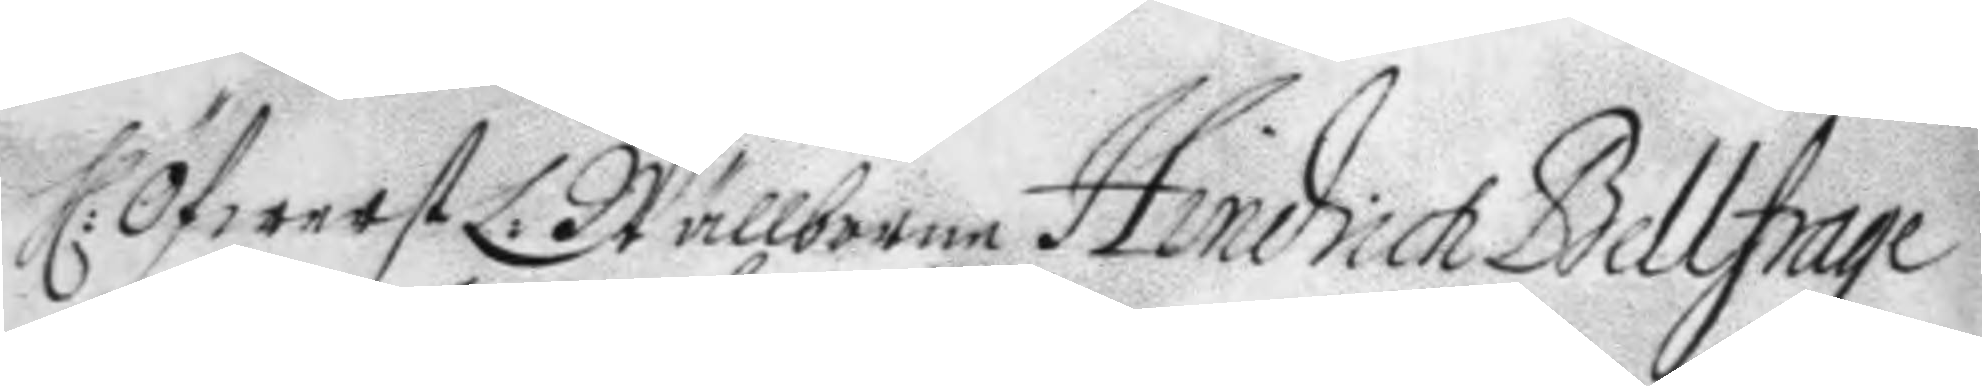H: Öfwerst H: Wälborne Hindrich Bellfrage
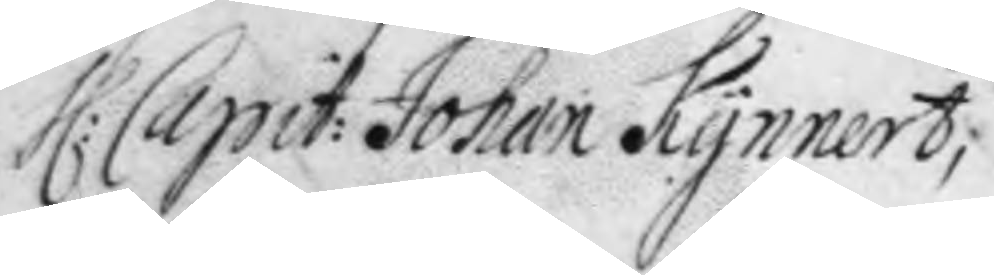H: Capit: Johan Kynnert,
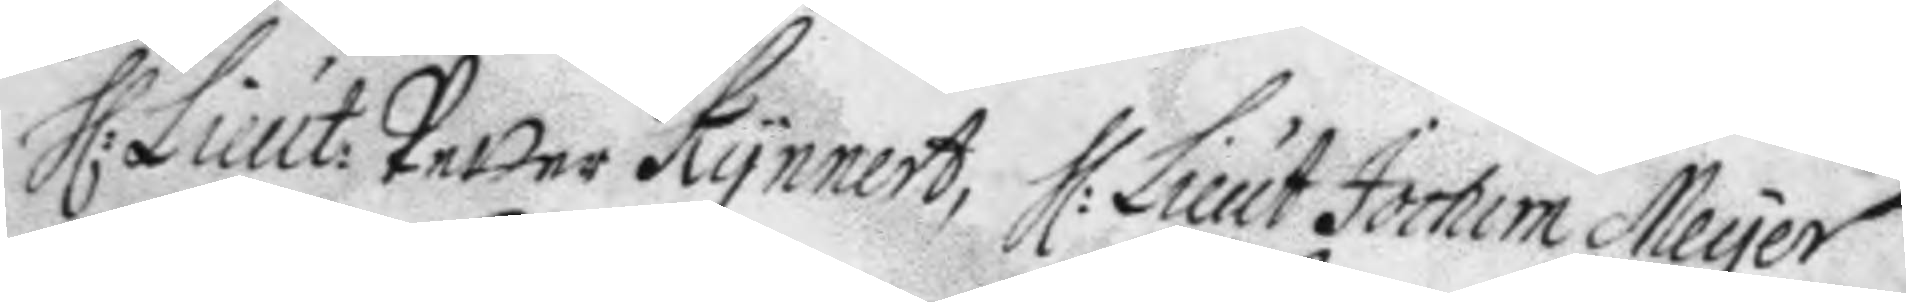H: Lieut: Petter Kynnert, H: Lieut Jochum Meyer
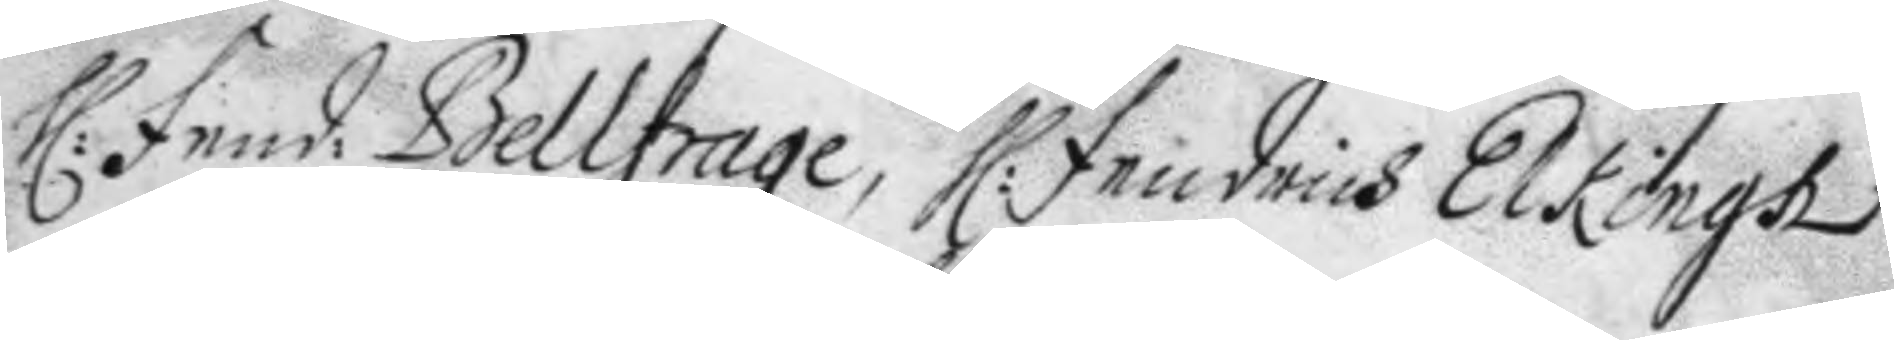H: Fried: Bellfrage, H: Friedrich Elkingh
